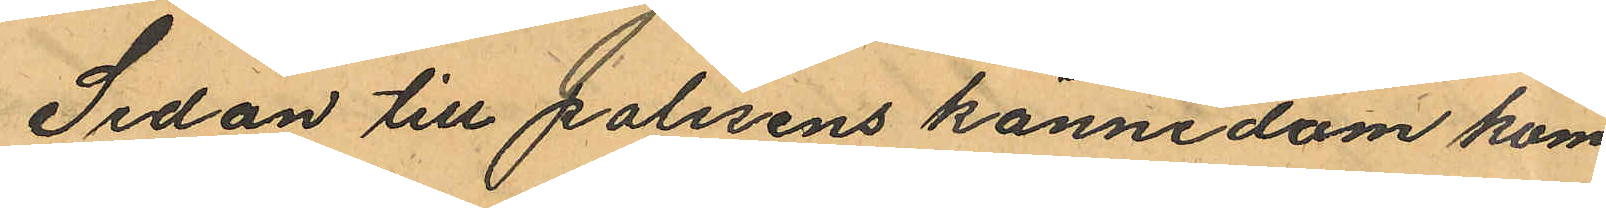Sedan till polisens kännedom kom¬
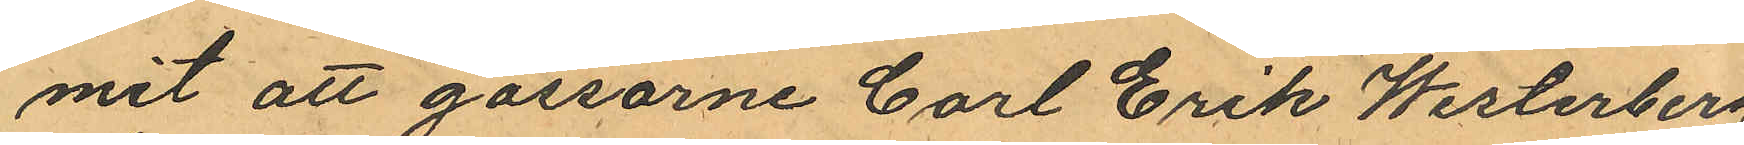mit att gossarne Carl Erik Westerberg
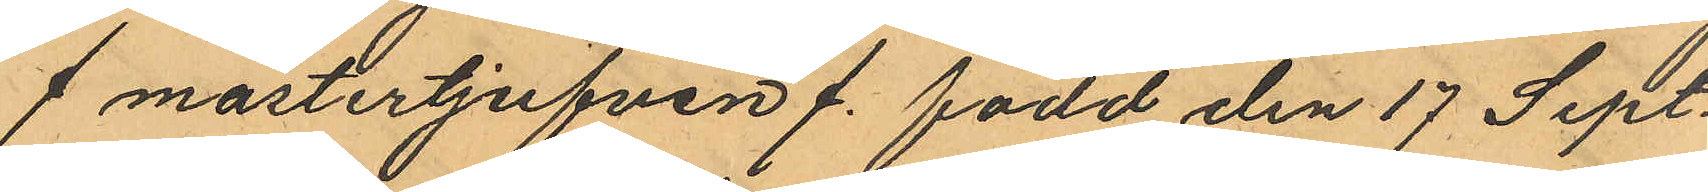/mästertjufven/ född den 17 Sept.
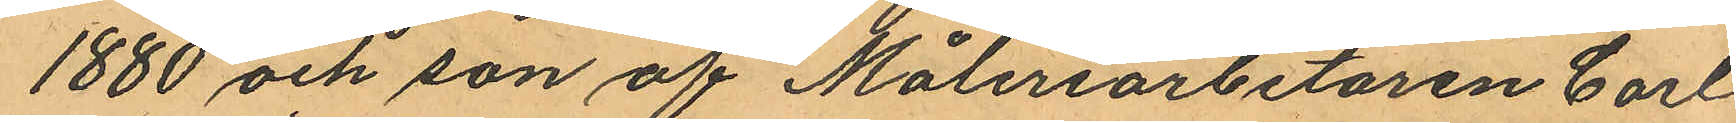1880 och son af Måleriarbetaren Carl
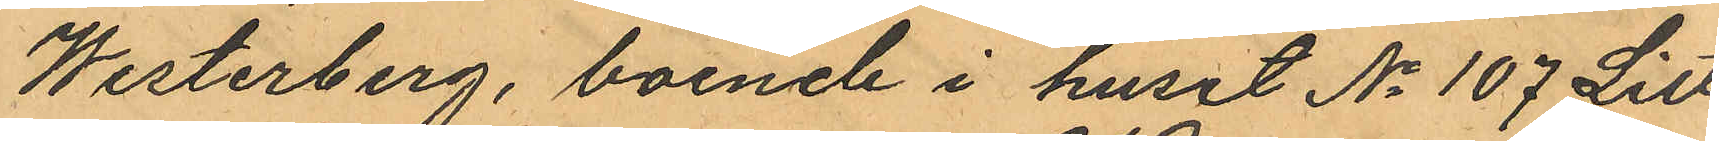Westerberg, boende i huset No 107 Litt
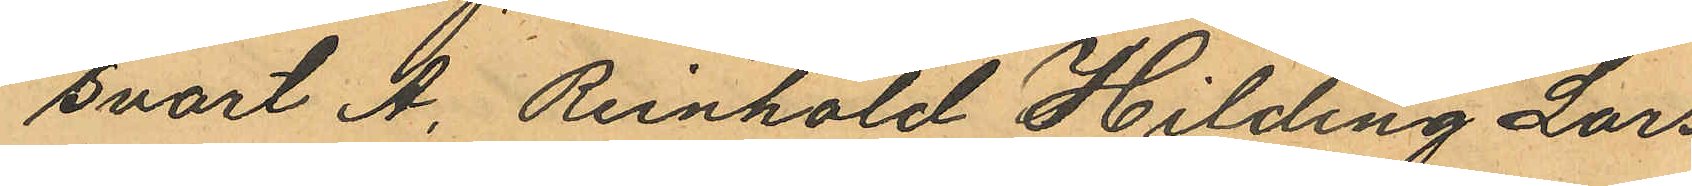svart A. Reinhold Hilding Lars¬
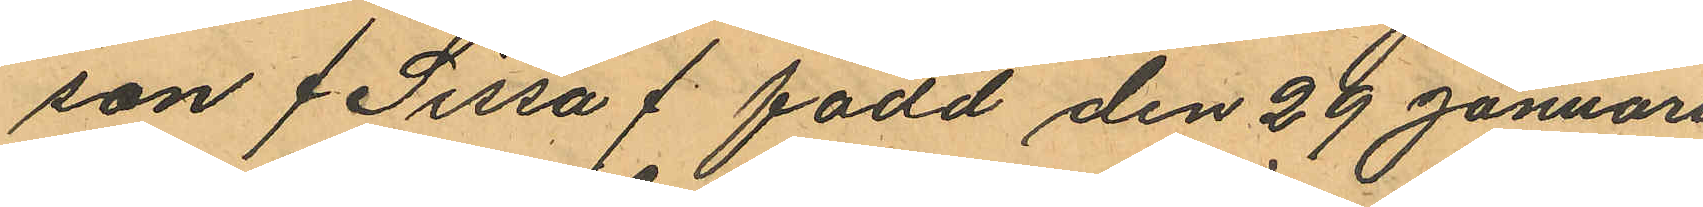son /Sissa/ född den 29 Januari
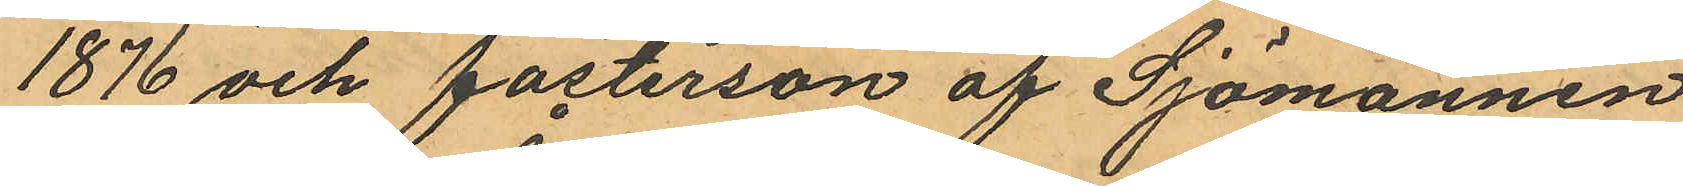1876 och fosterson af Sjömannen
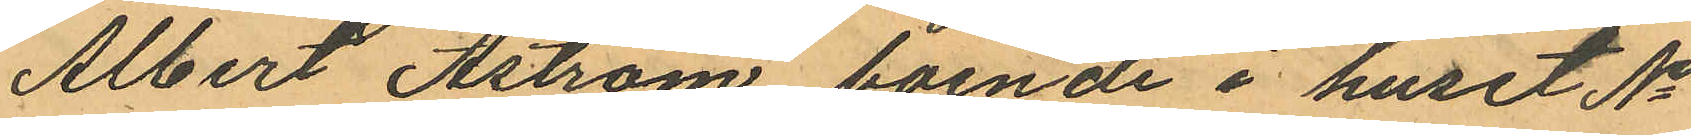Albert Åström, boende i huset No
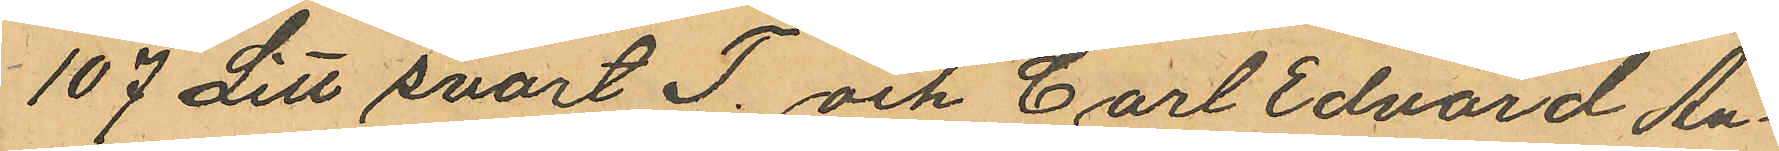107 Litt svart T. och Carl Edvard An¬
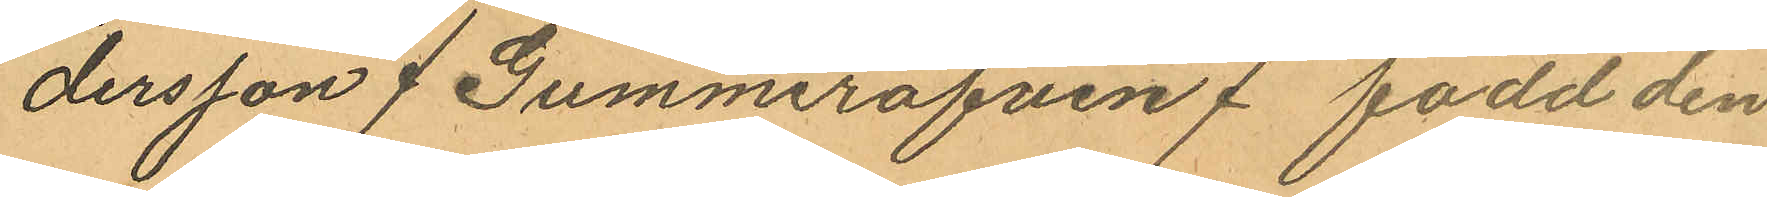dersson /Gummiräfven/ född den
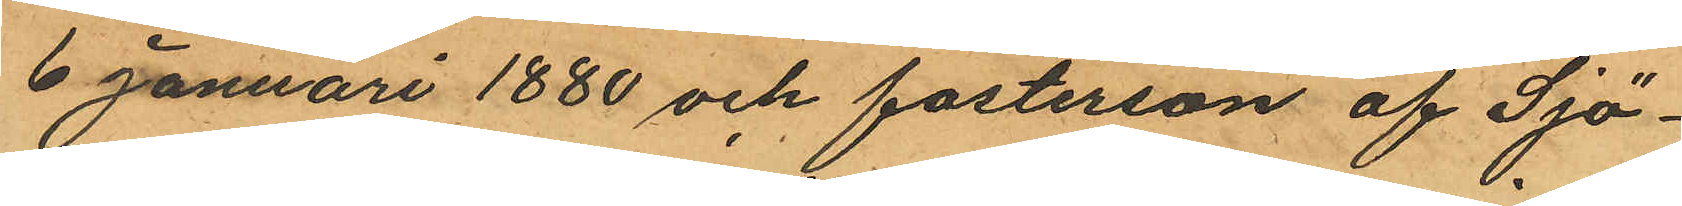6 Januari 1880 och fosterson af Sjö¬
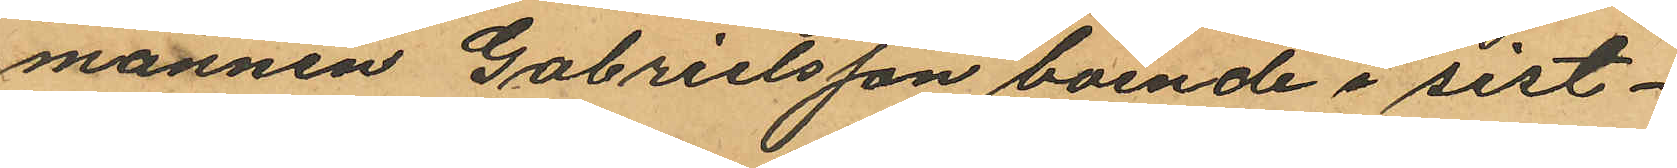mannen Gabrielsson boende i sist¬
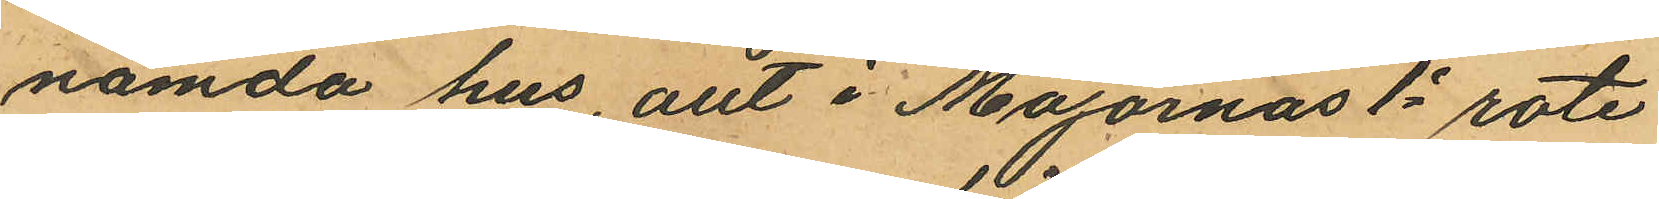nämda hus, allt i Majornas 1e rote
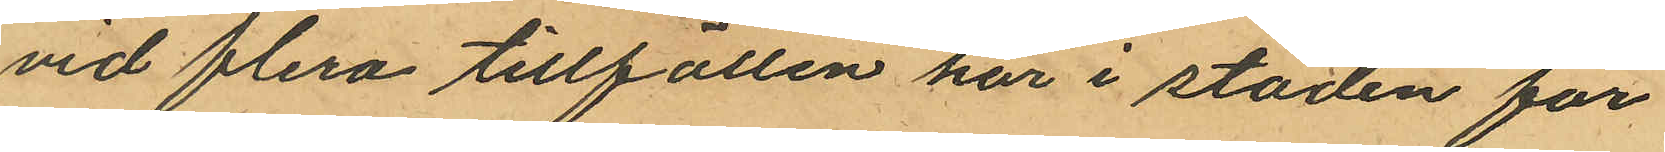vid flera tillfällen här i staden för
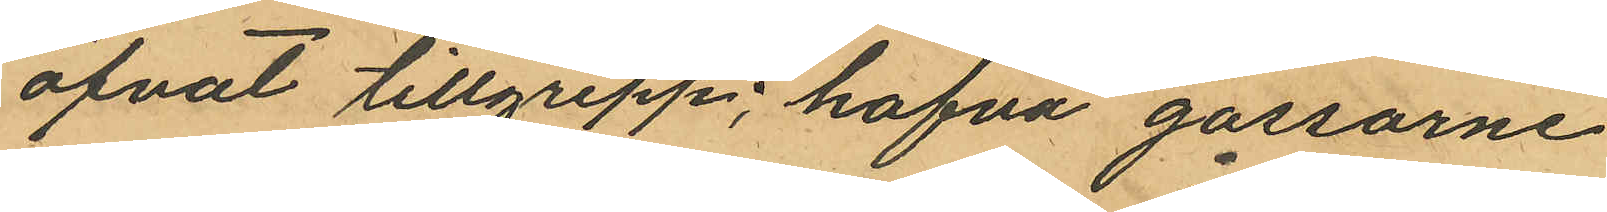öfvat tillgrepp; hafva gossarne
